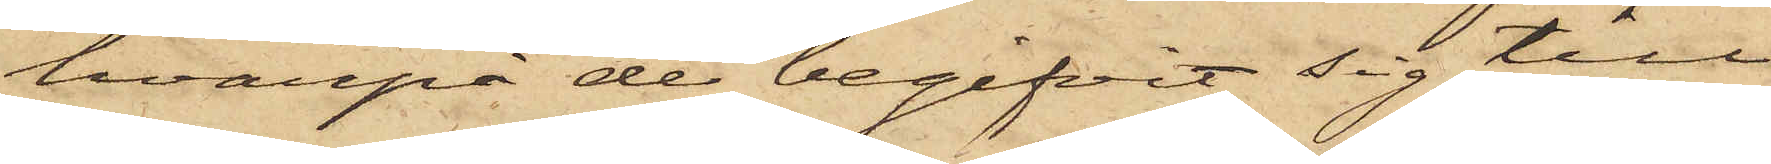hvarpå de begifvit sig till
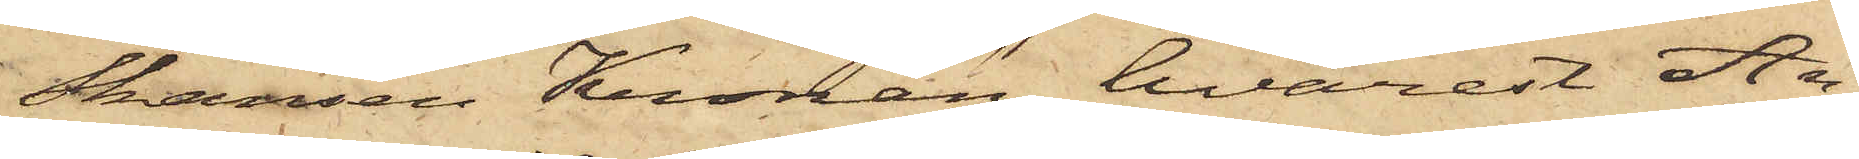Skansen Kronan, hvarest An¬
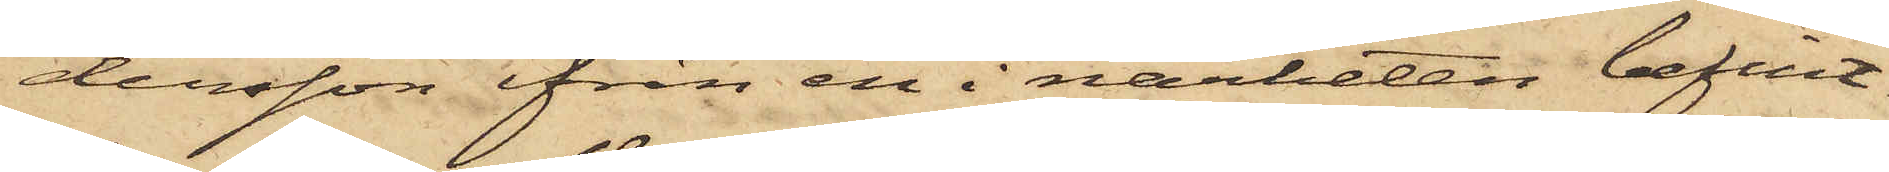dersson ifrån en i närheten befint¬
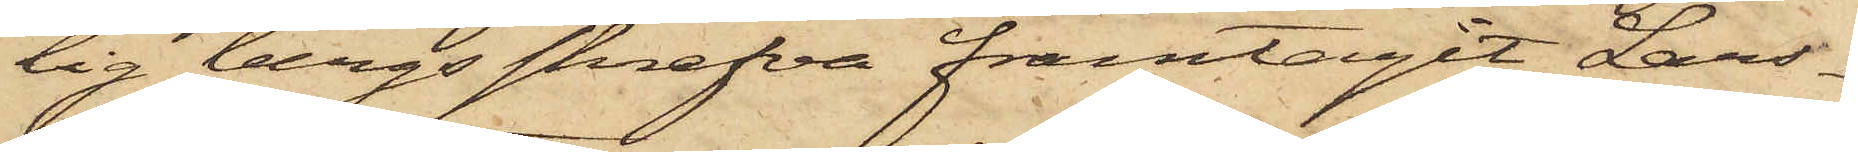lig bergsskrefva framtagit Lars¬
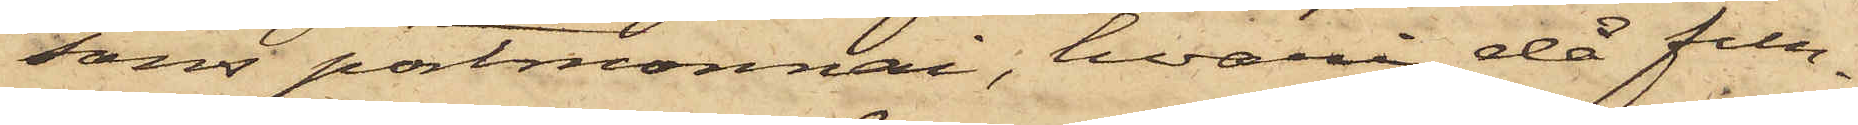sons portmonnai, hvari då fun¬
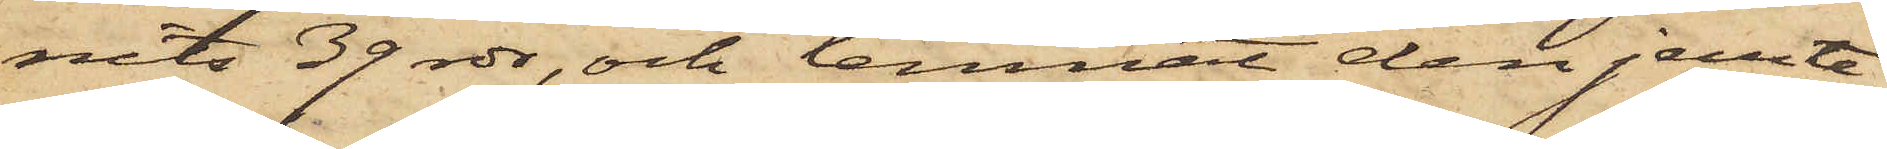nits 39 rdr, och lemnat den jemte
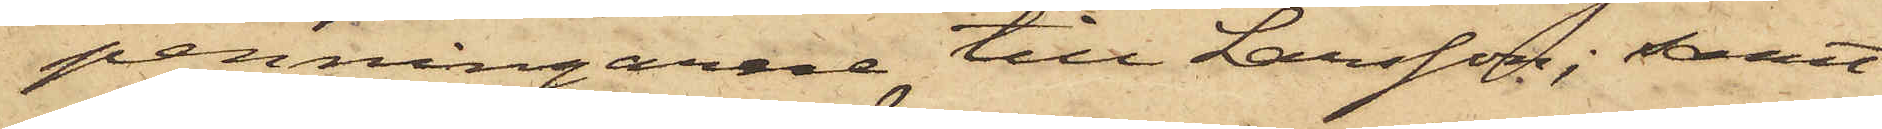penningarene till Larsson; samt
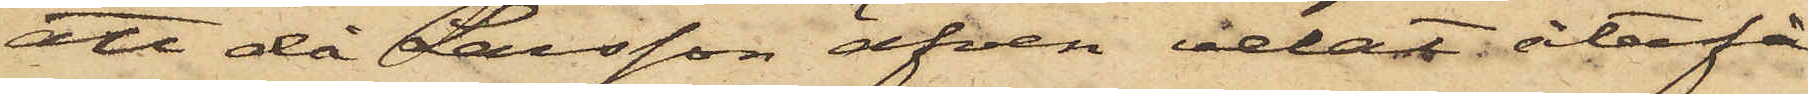att då Larsson äfven velat återfå
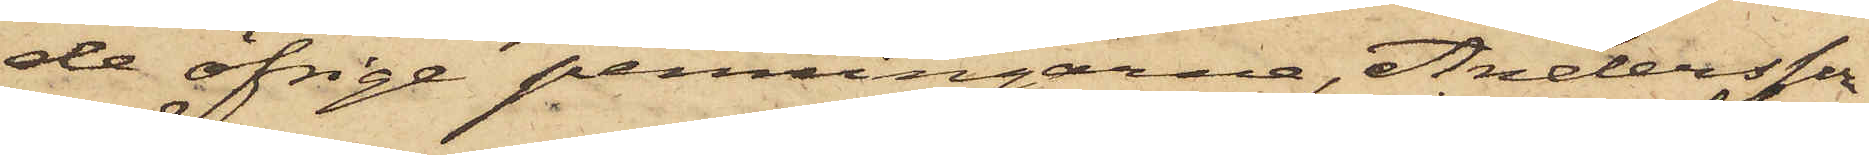de öfrige penningarne, Andersson
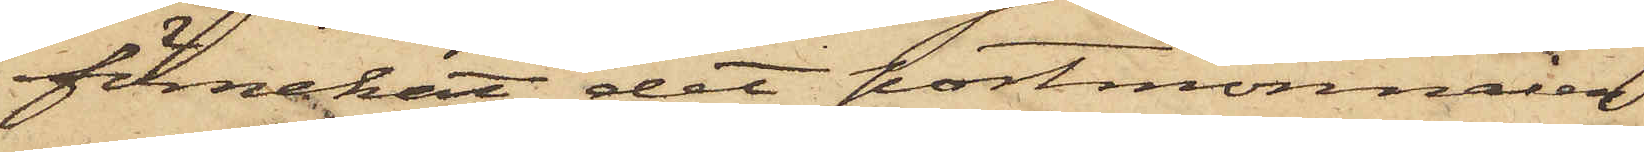förnekat det portmonnaien
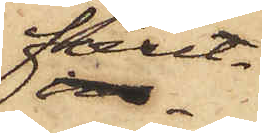förut¬
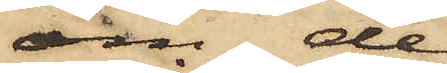om de
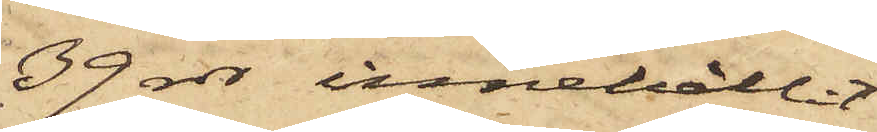39 rdr innehållit
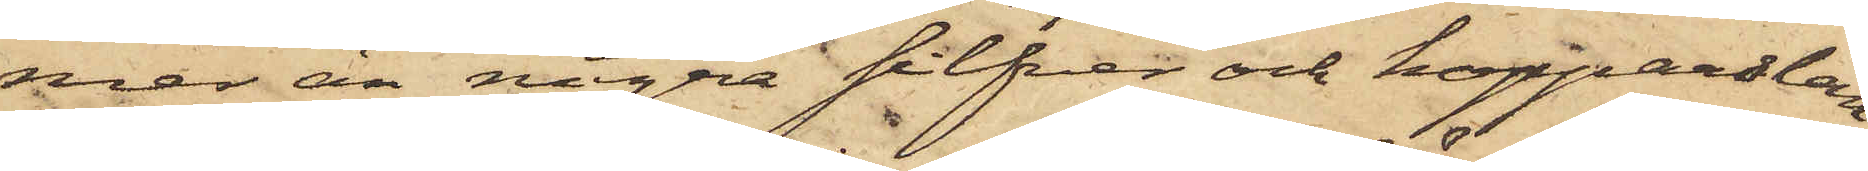mer än några silfver och kopparslan¬
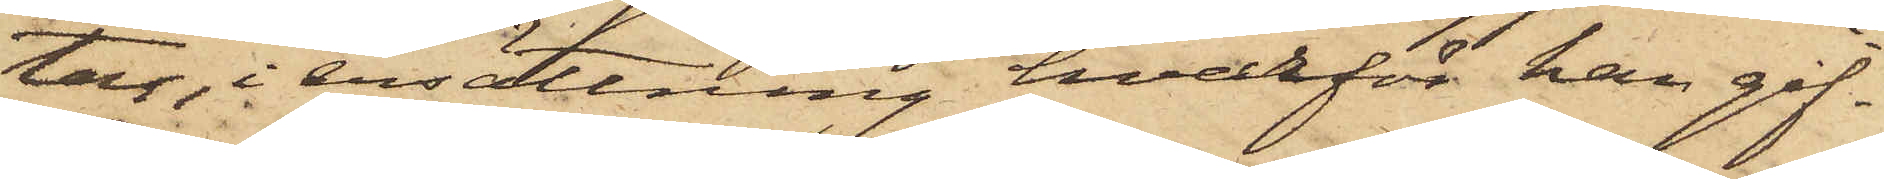tar, i ersättning hvarför han gif¬
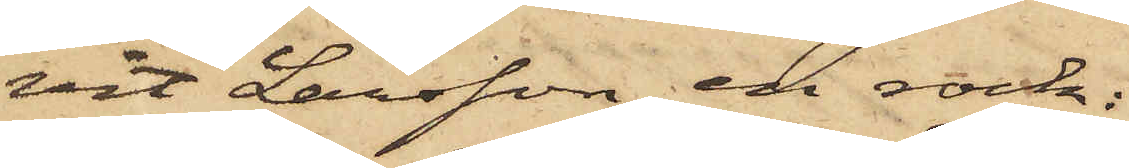vit Larsson en rock;
